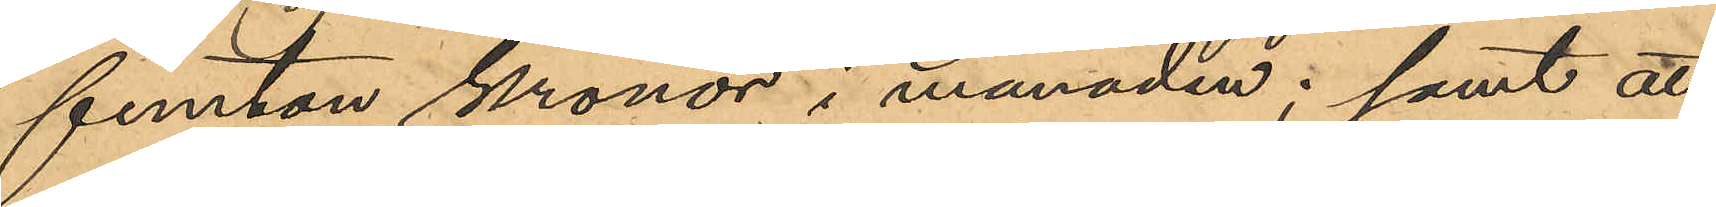femton kronor i månaden; samt att
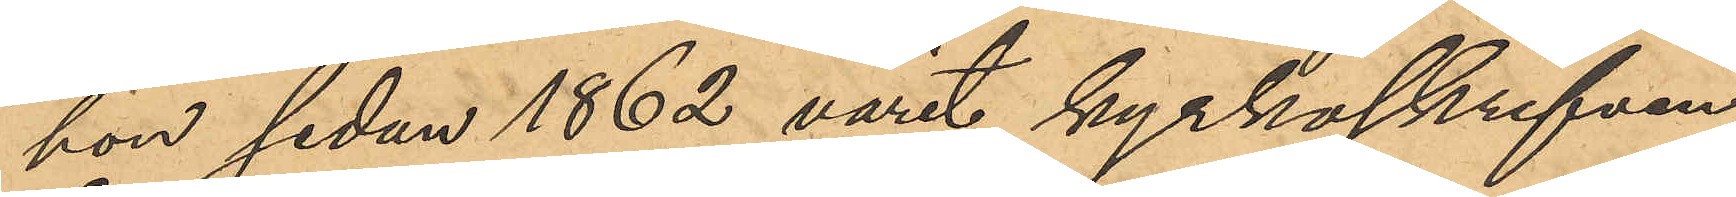hon sedan 1862 varit kyrkoskrifven
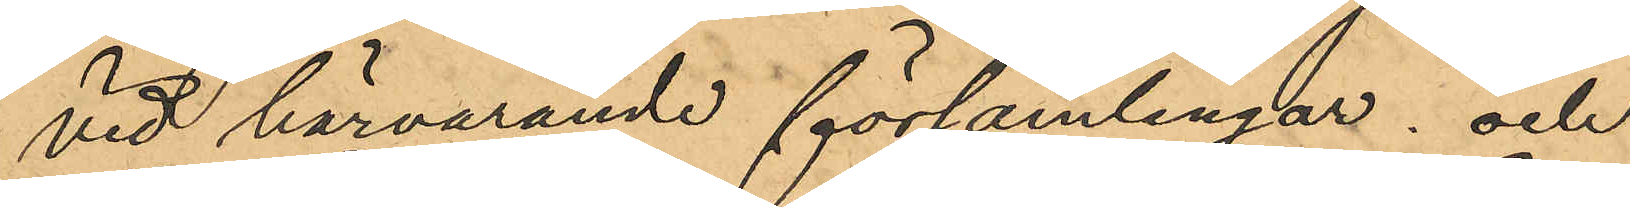vid härvarande församlingar; och
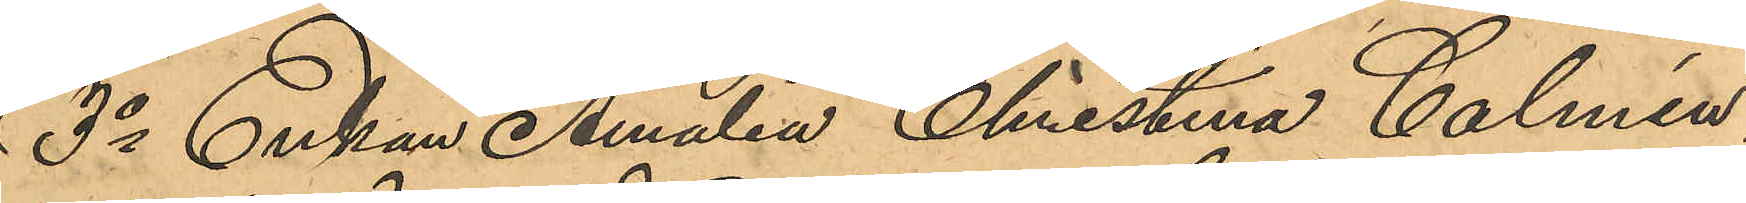3o Enkan Amalia Christina Calmén:
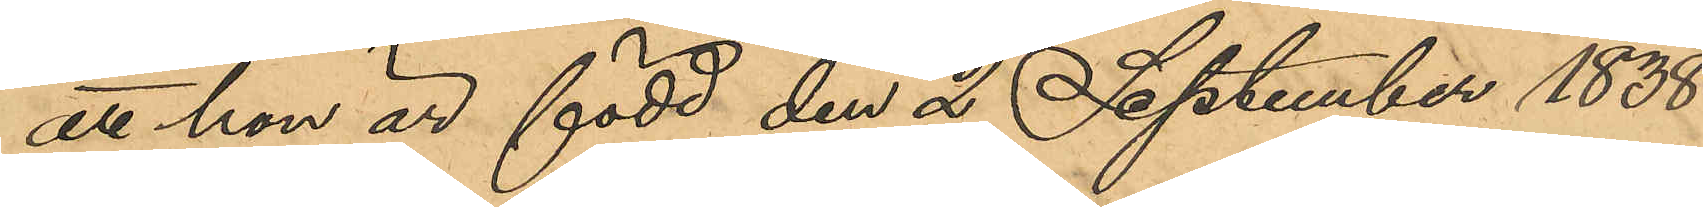att hon är född den 2 September 1838
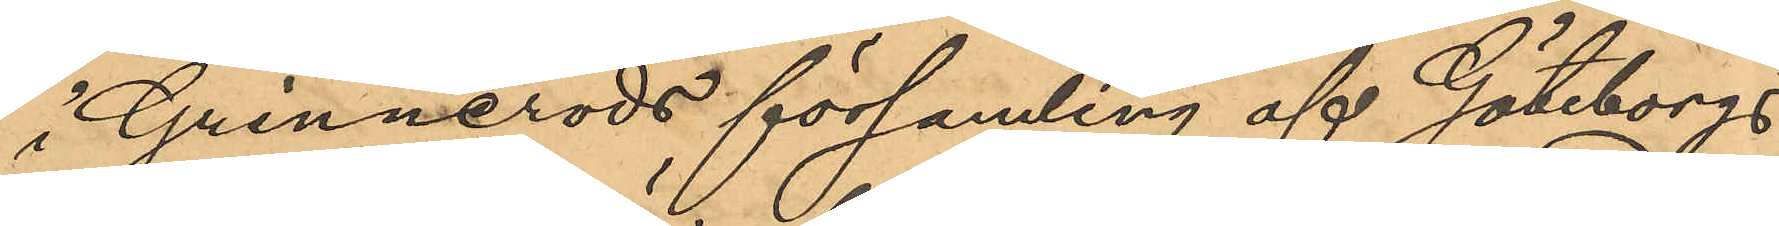i Grinneröds församling af Göteborgs
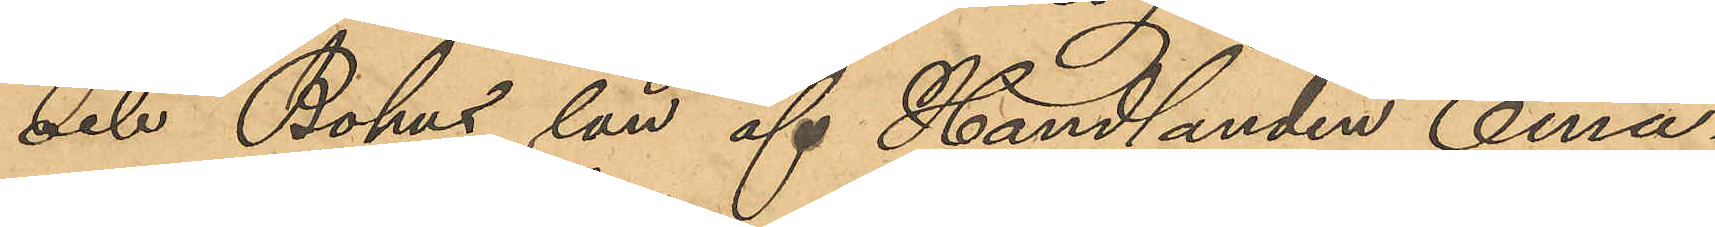och Bohus län af Handlanden Ema¬
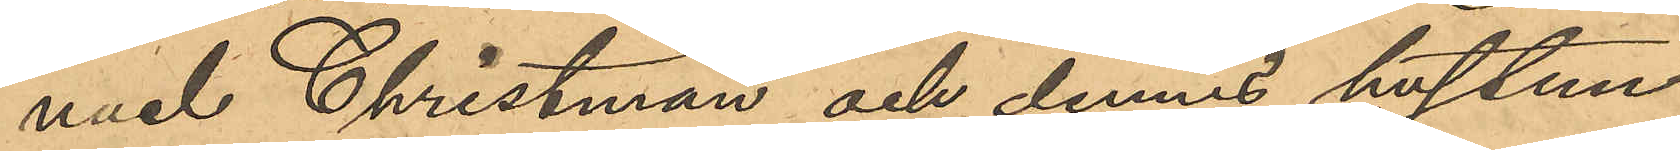nuel Christman och dennes hustru
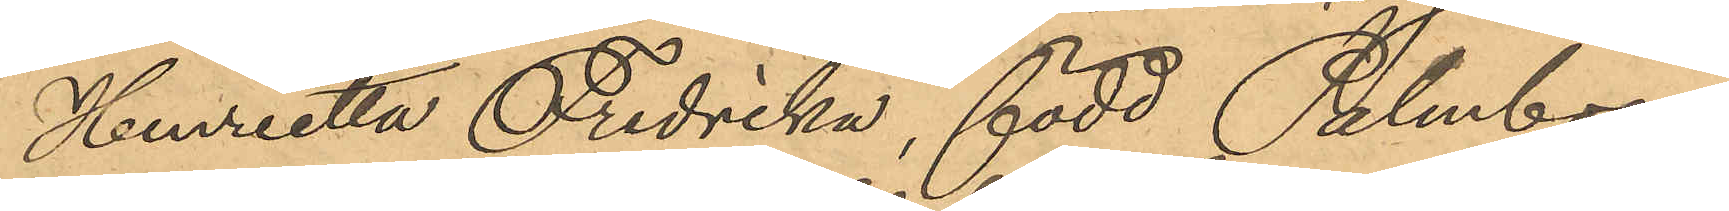Henretta Fredrika, född Palmborg,
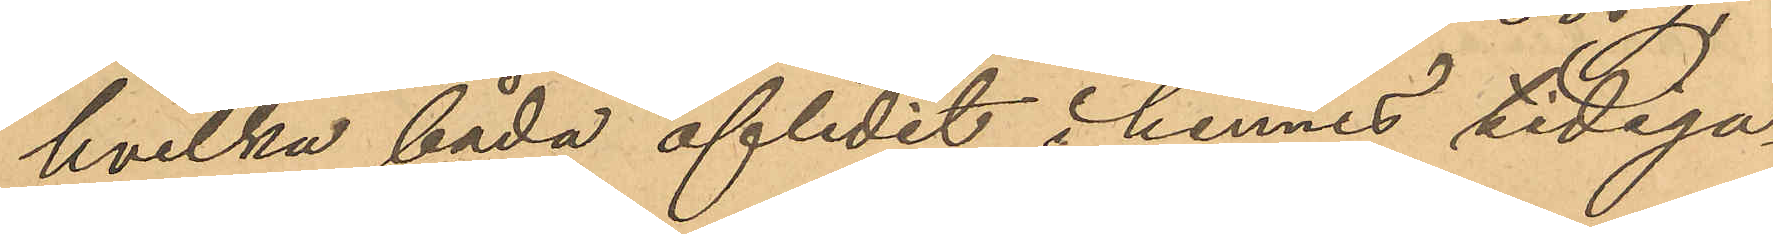hvilka båda aflidit i hennes tidiga¬
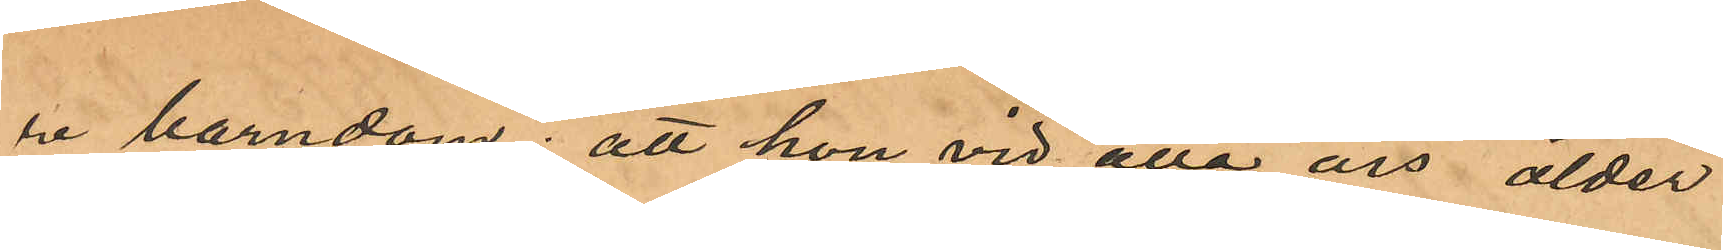re barndom; att hon vid åtta års ålder
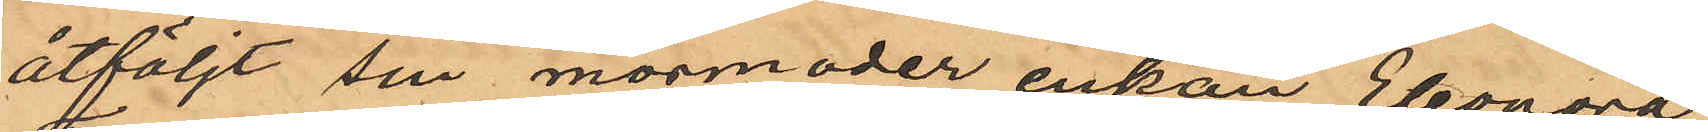åtföljt sin mormoder enkan Eleonora
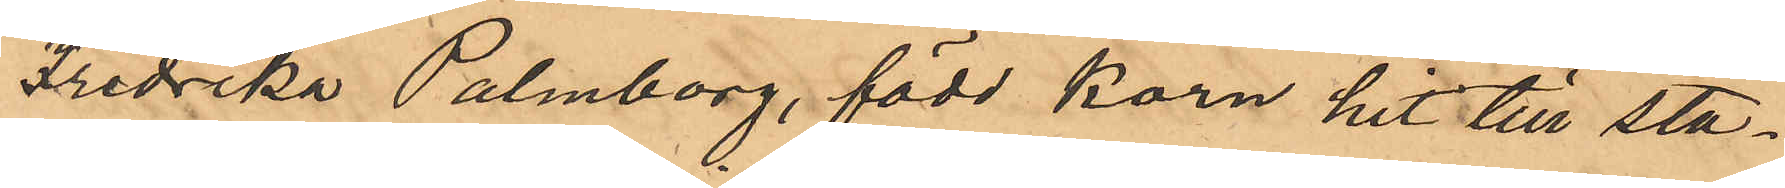Fredrika Palmborg, född Korn hit till sta¬
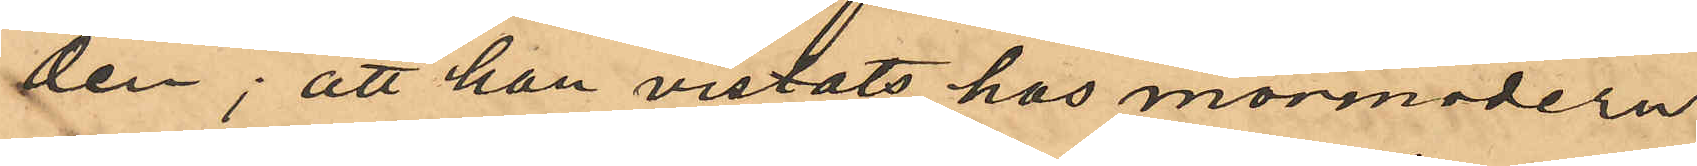den; att hon vistats hos mormodern
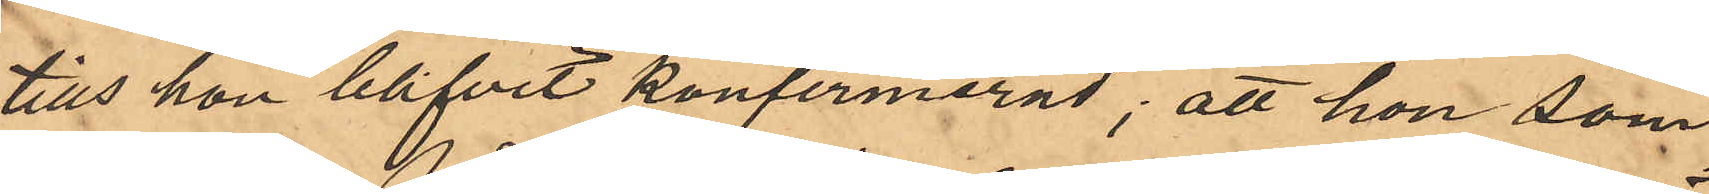tills hon blifvit konfirmerad; att hon som
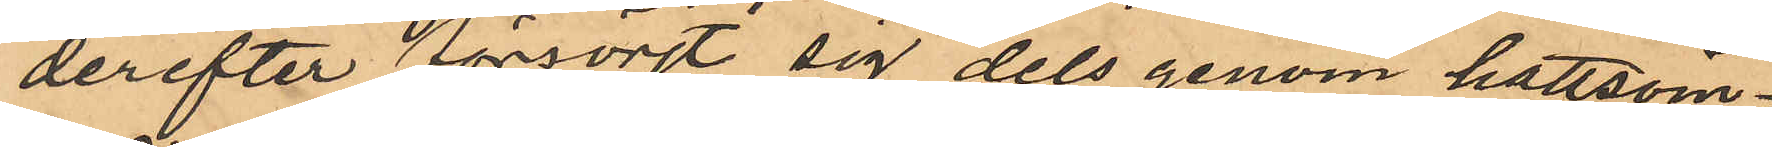derefter försörjt sig dels genom hattsöm¬
